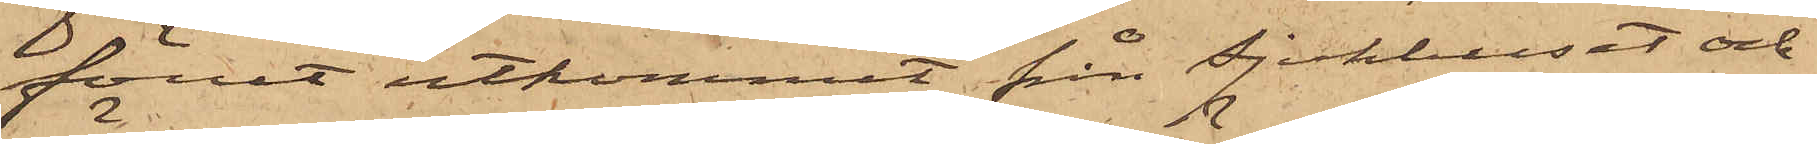förut utkommit från Sjukhuset och
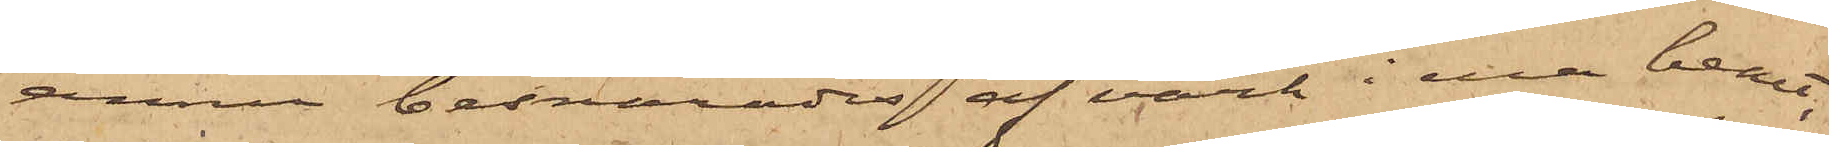ännu besvärades af värk i ena benet,
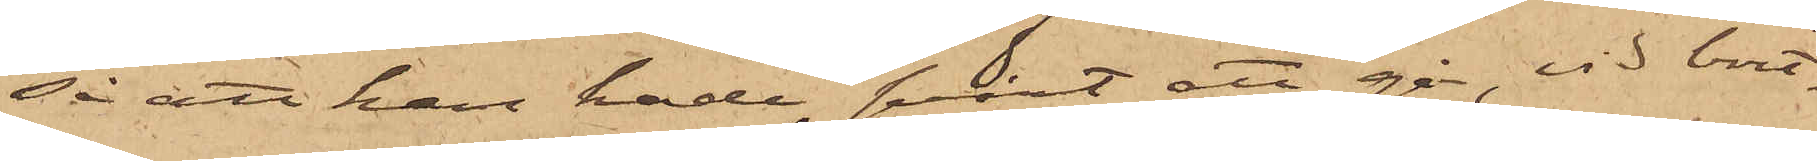så att han hade svårt att gå, vid bort¬
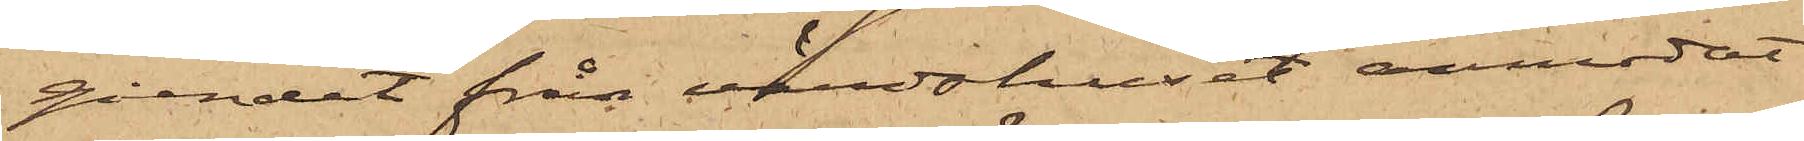gåendet från värdshuset anmodat
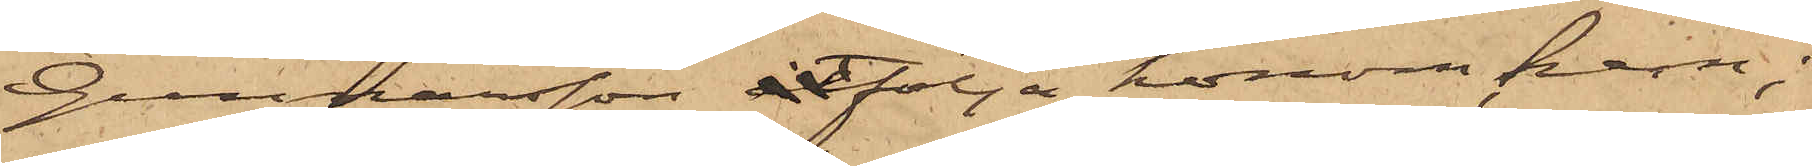Gunnarsson åtfölja honom hem;
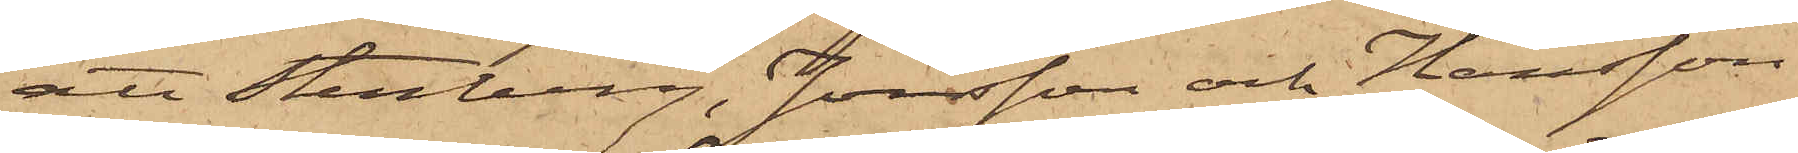att Stenberg, Jonsson och Hansson
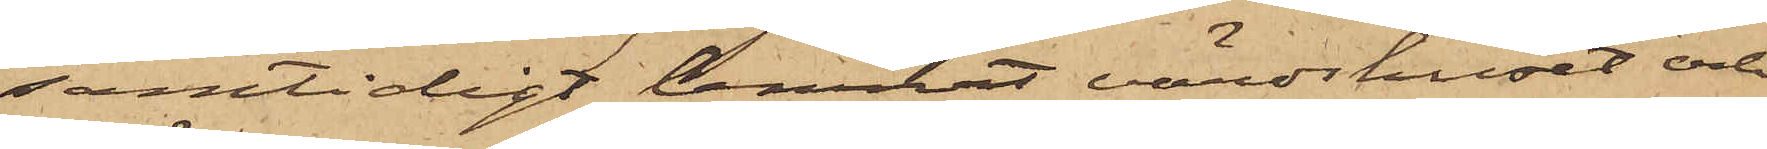samtidigt lemnat värdshuset och
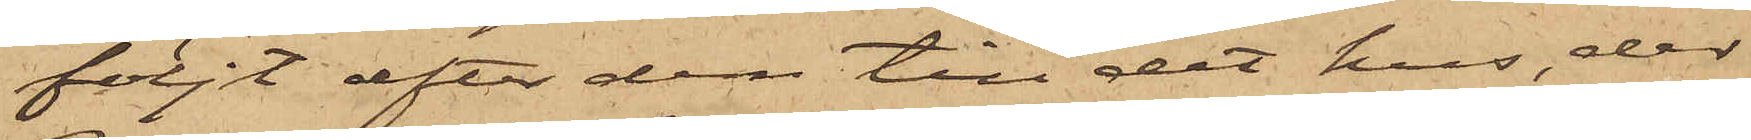följt efter dem till det hus, der
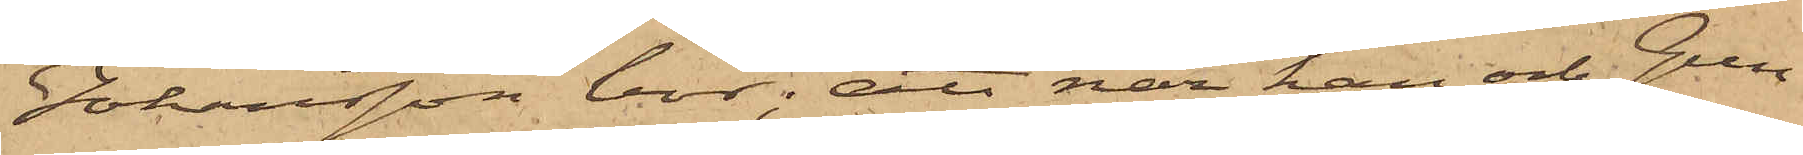Johansson bor; att när han och Gun¬
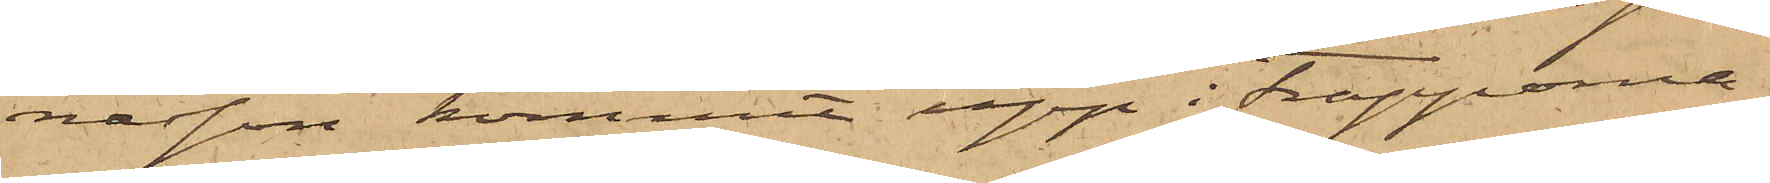nasson, kommit upp i trapporna,
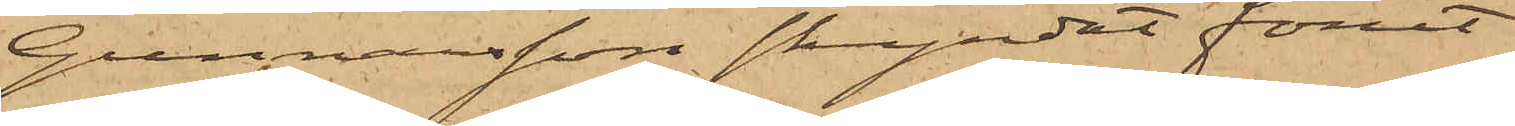Gunnarsson skyndat förut
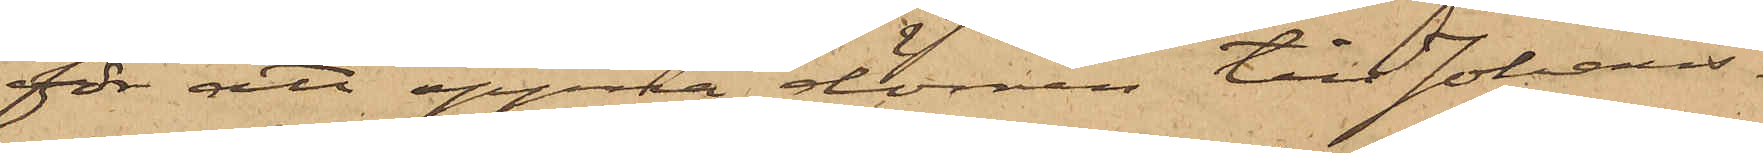för att öppna dörren till Johans¬
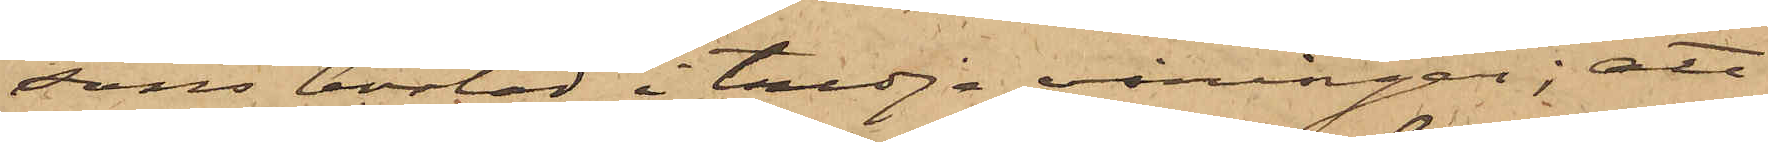sons bostad i tredje våningen; att
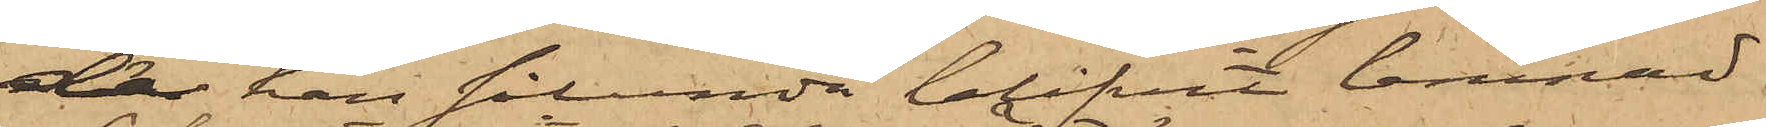då han sålunda blifvit lemnad
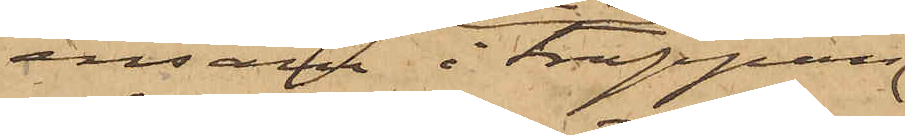ensam i trappan
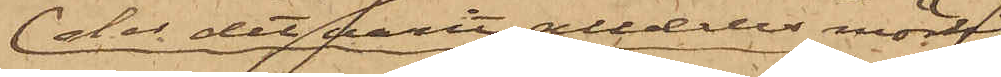der det varit alldeles mörkt,
